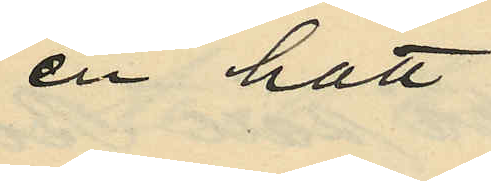en hatt
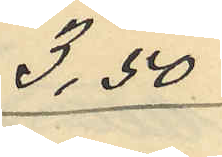3,50
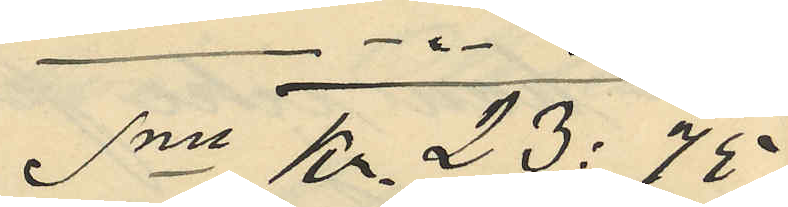Sm Kr. 23:75;
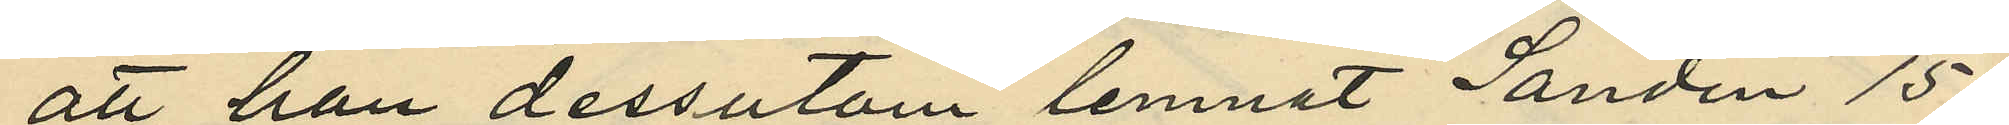att han dessutom lemnat Sandin 15
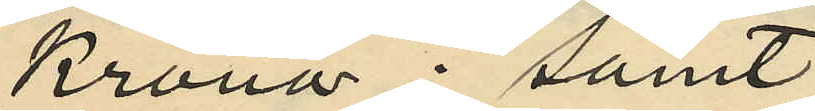Kronor; samt
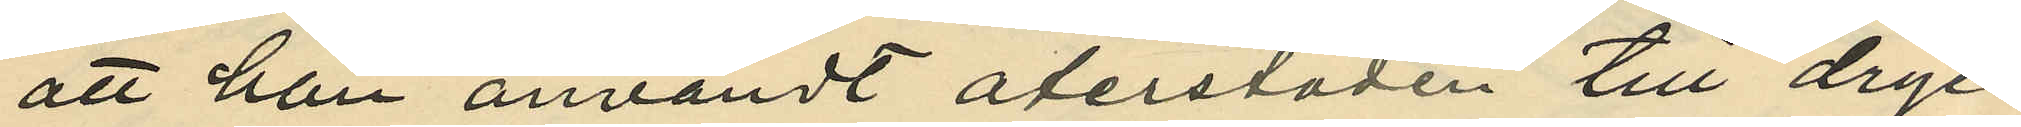att han användt återstoden till dryc¬
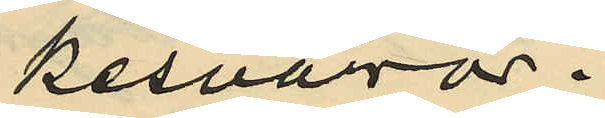kesvaror.
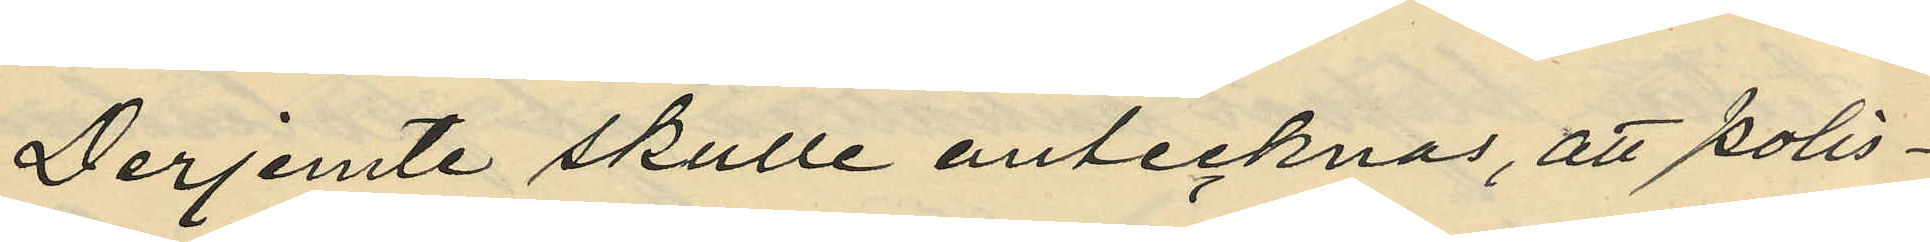Derjemte skulle antecknas, att Polis¬
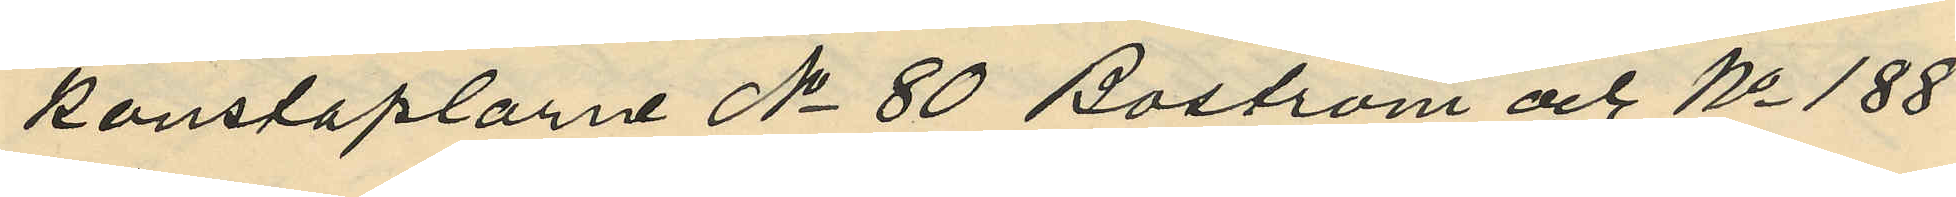konstaplarne No 80 Boström och No 188
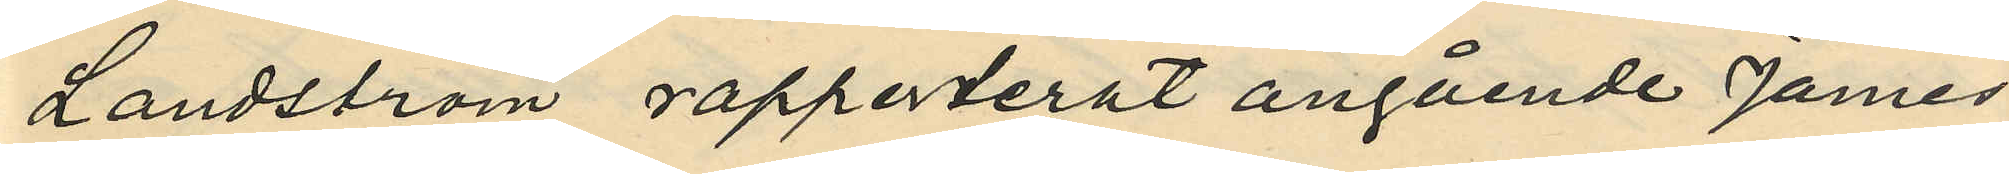Landström rapporterat angående James
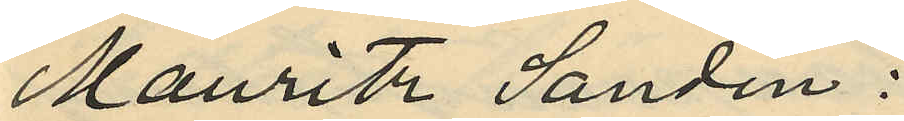Mauritz Sandin:
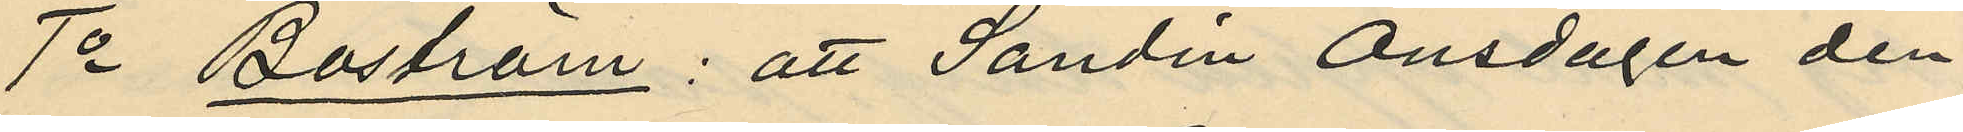1o Boström: att Sandin Onsdagen den
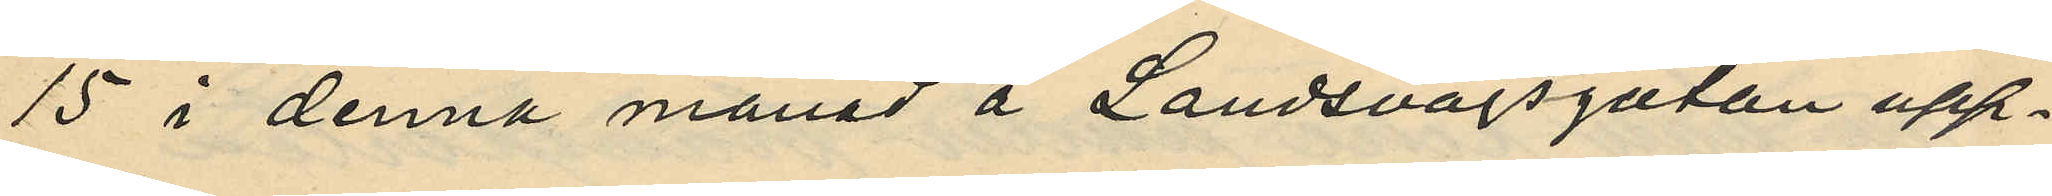15 i denna månad å Landsvägsgatan upp¬
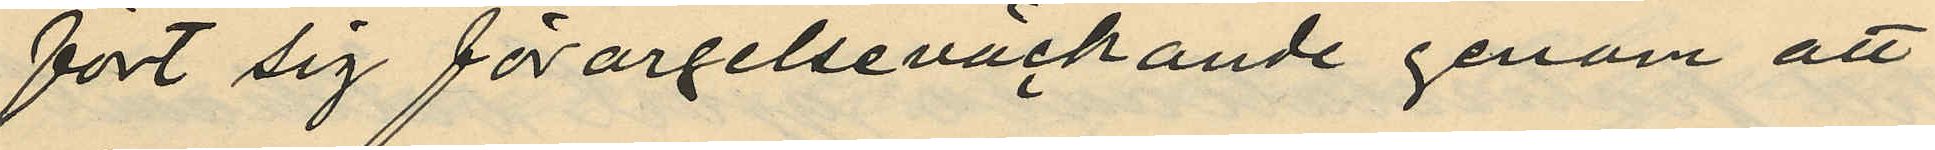fört sig förargelseväckande genom att
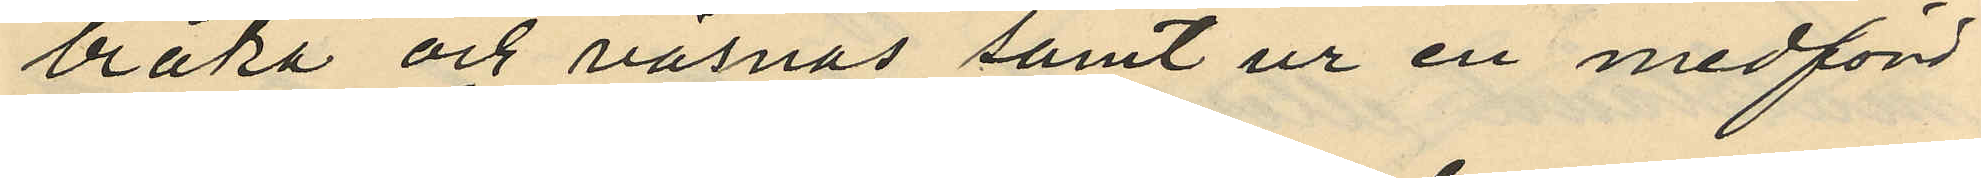bråka och väsnas samt ur en medförd
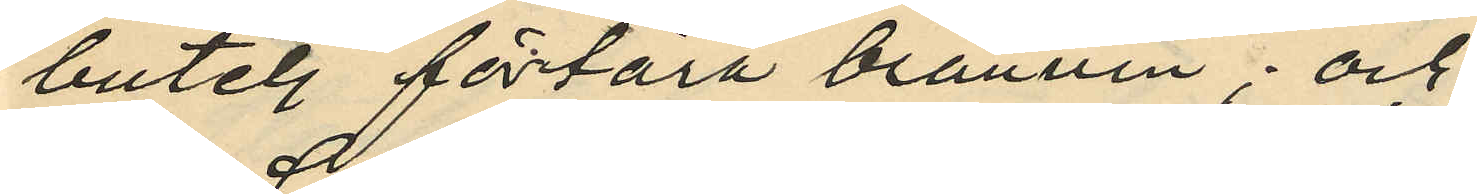butelj förtära bränvin; och
